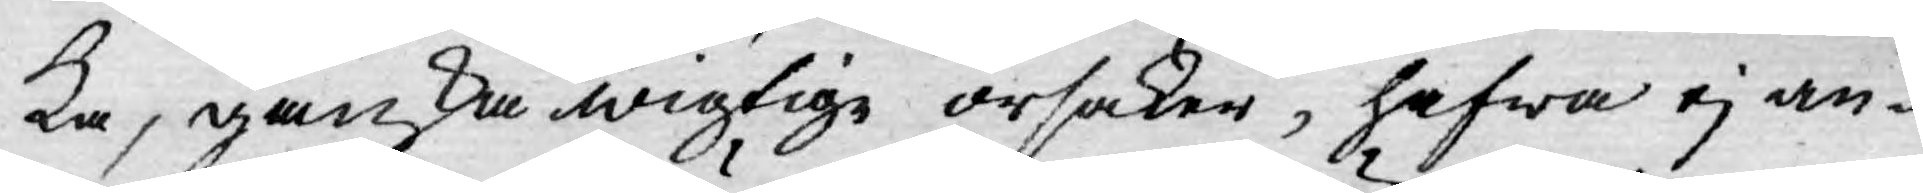ka, ganska wigtige orsaker, hafwa ej an¬
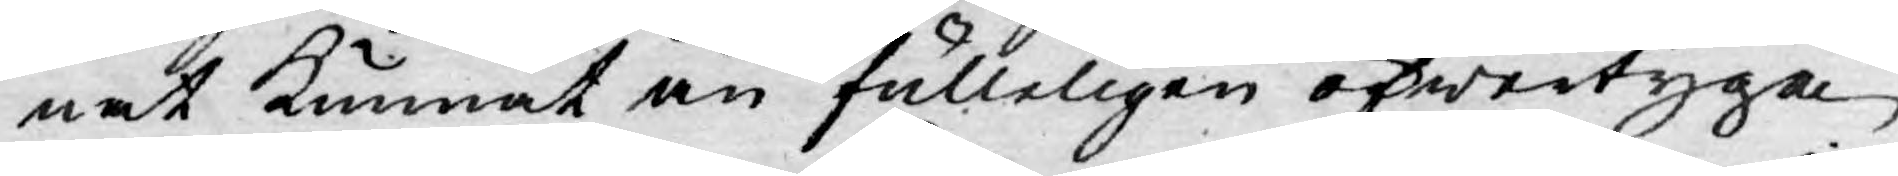nat kunnat än fulleligen öfwertyga
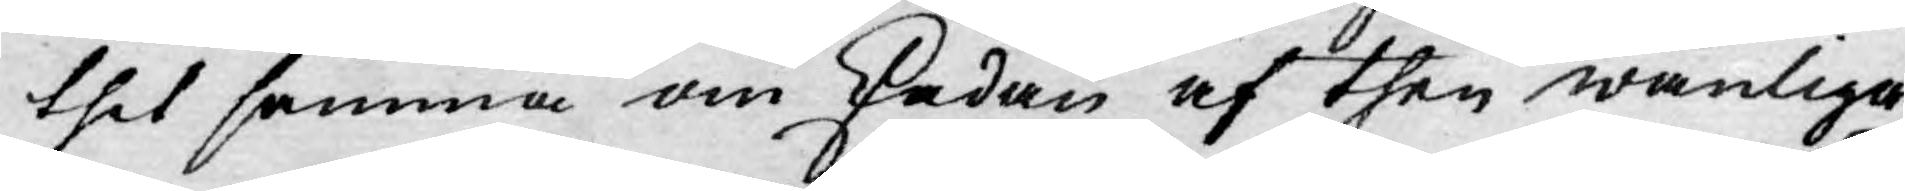thet samma om skadan af then wanliga
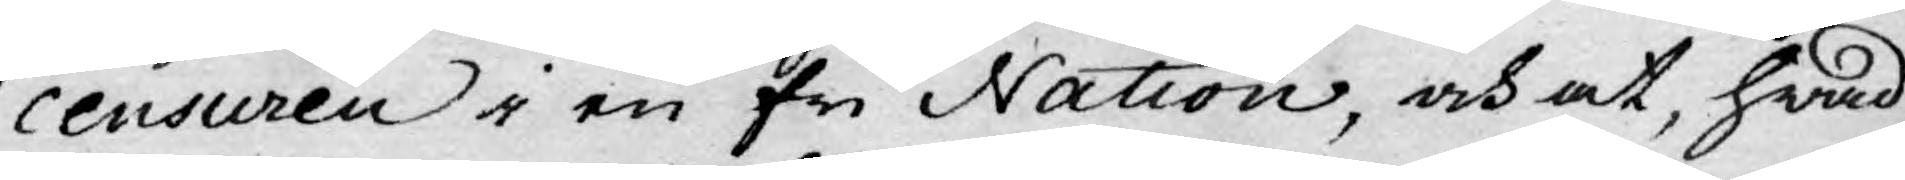censuren i en fri Nation, och at, hwad
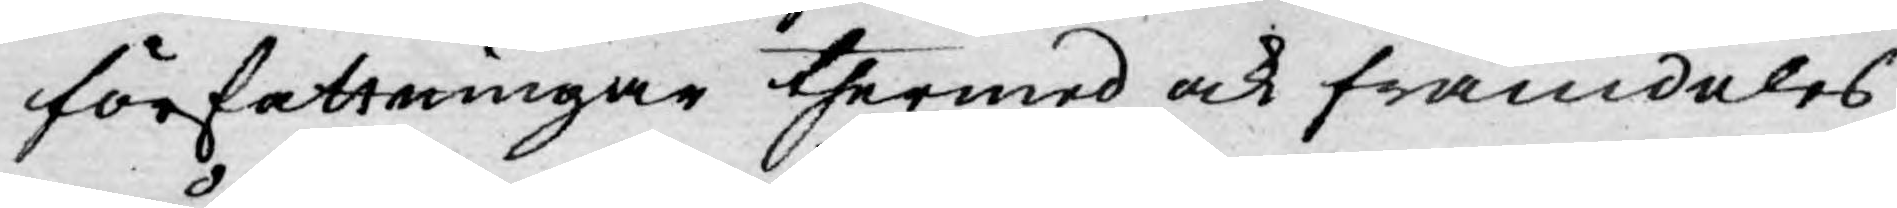författningar thermed ock framdeles
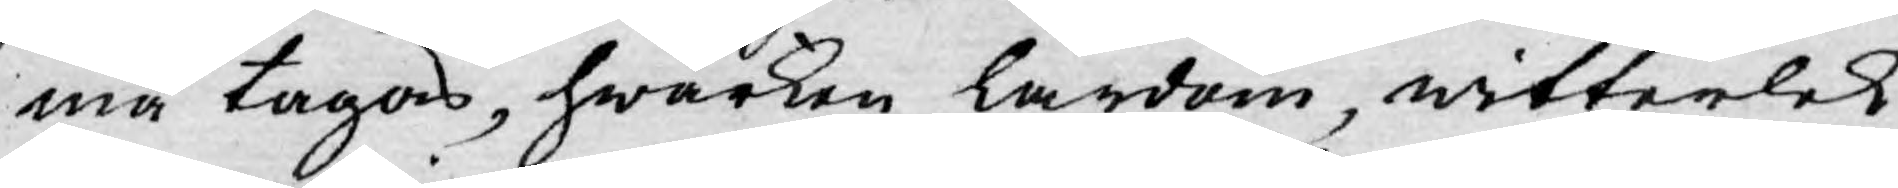må tagas, hwarken lärdom, witterlek
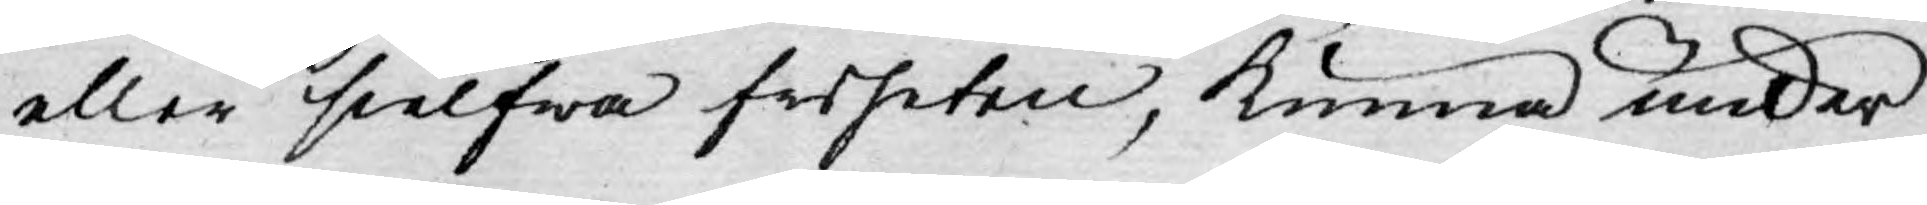eller sielfwa friheten, kunna under
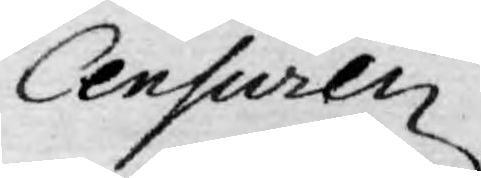Censuren
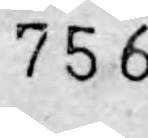756
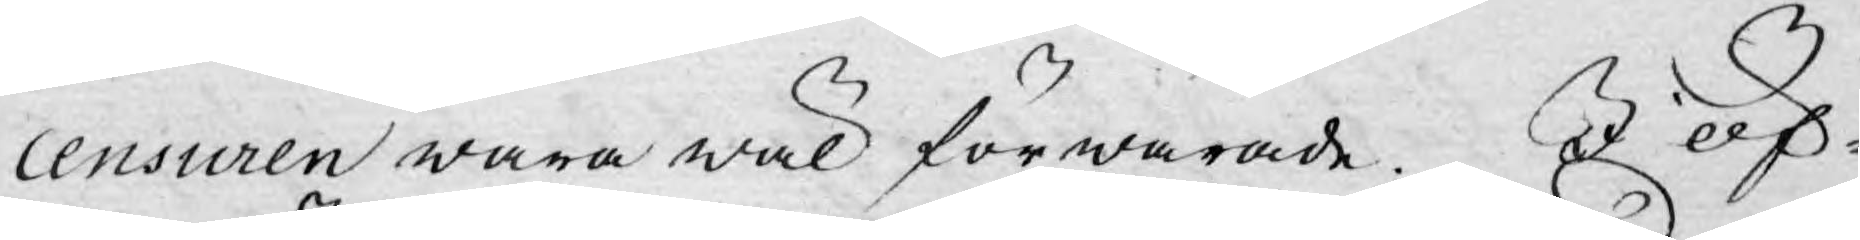censuren wara wäl förwarade. I öf-
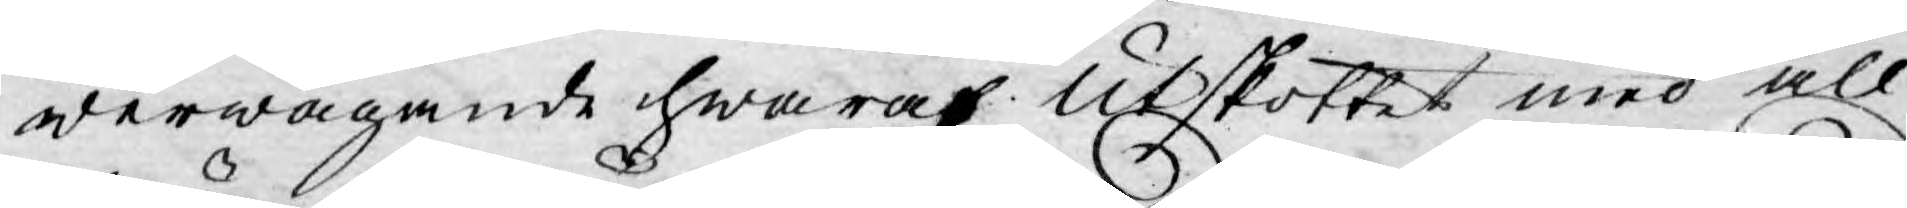werwägande hwaraf Utskottet med all
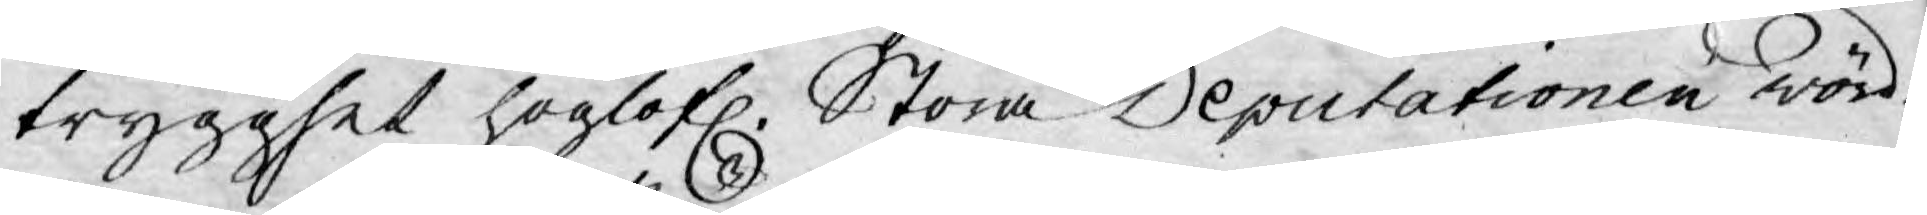trygghet höglofl. Stora Deputationen wörd-
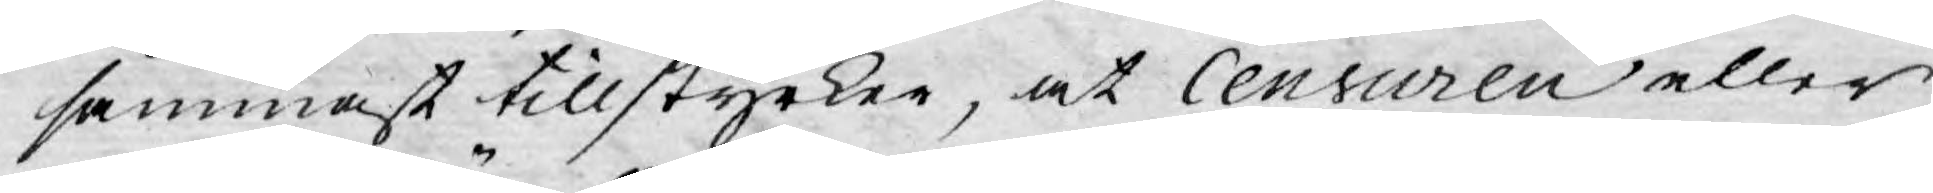sammast tillstyrker, at Censuren eller
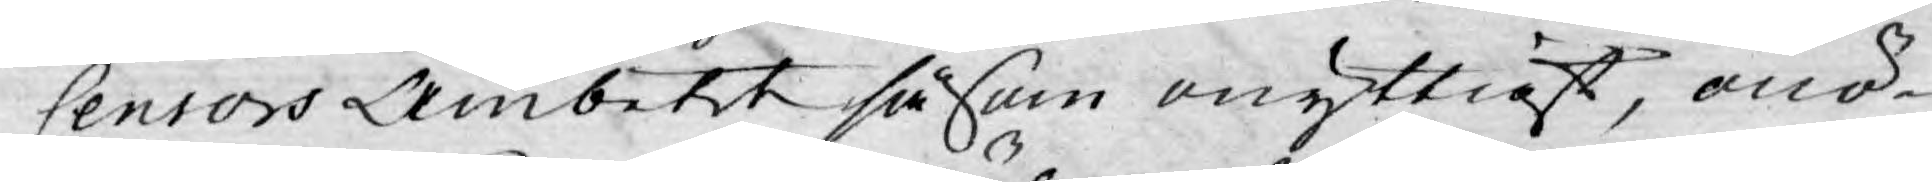Censors Ämbetet såsom onyttigt, onö¬
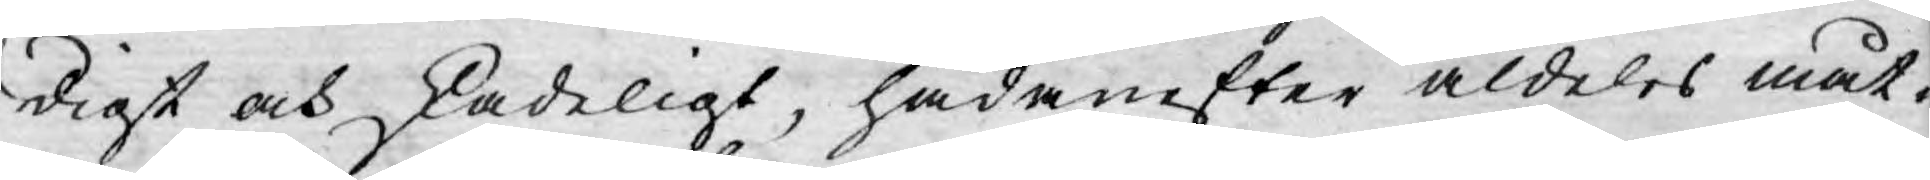digt och skadeligt, hädanefter aldeles måt¬
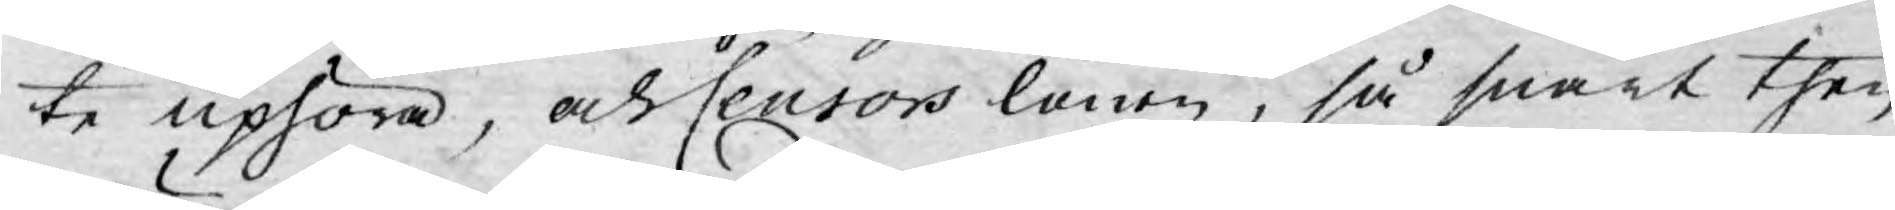te uphöra, och Censors lönen, så snart then
